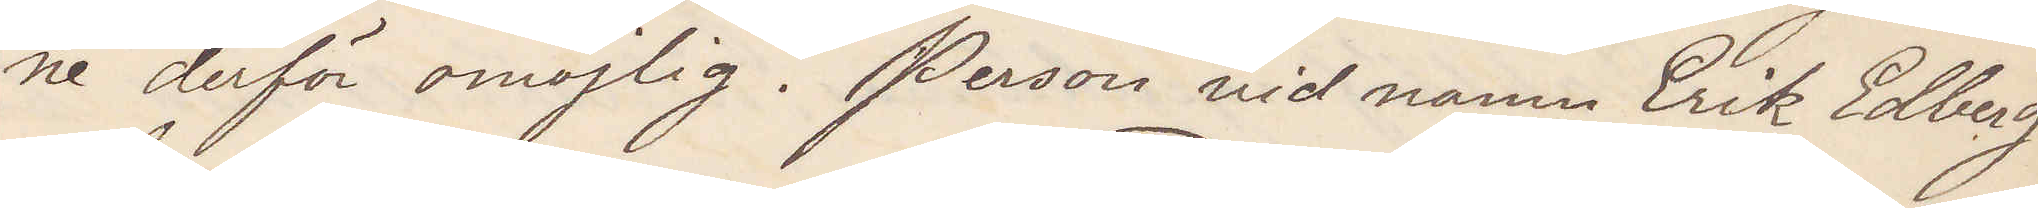ne derför omöjlig. Person vid namn Erik Edberg
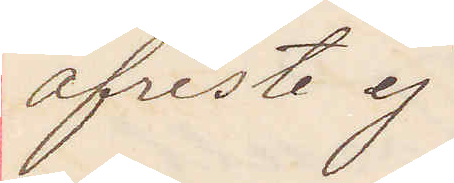afreste ej
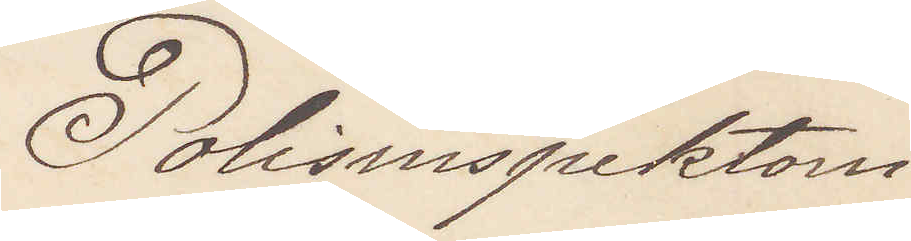Polisinspektorn.
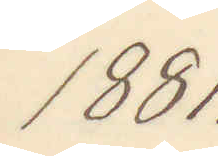1881.
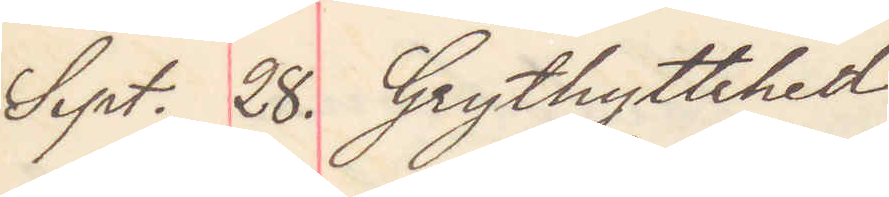Sept. 28. Grythyttehed
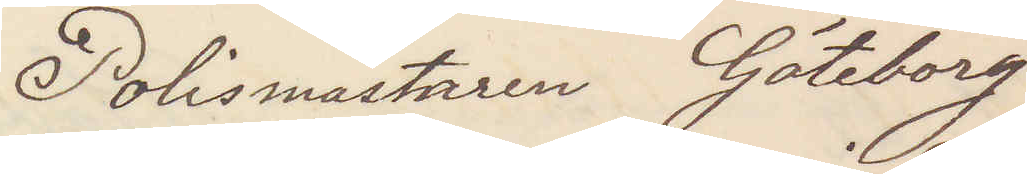Polismästaren Göteborg
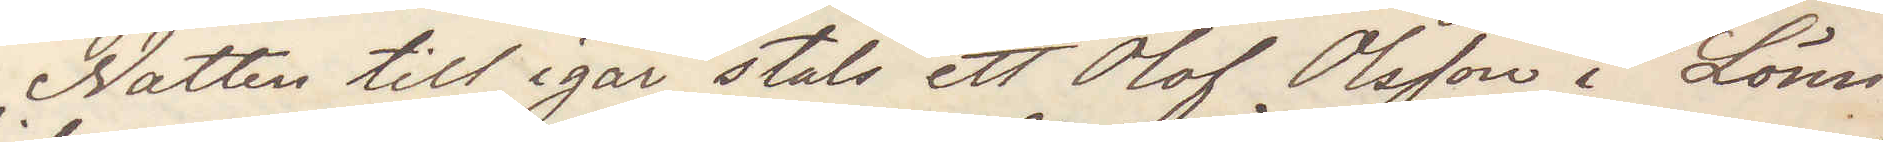Natten till igår stals ett Olof Olsson i Lönn¬
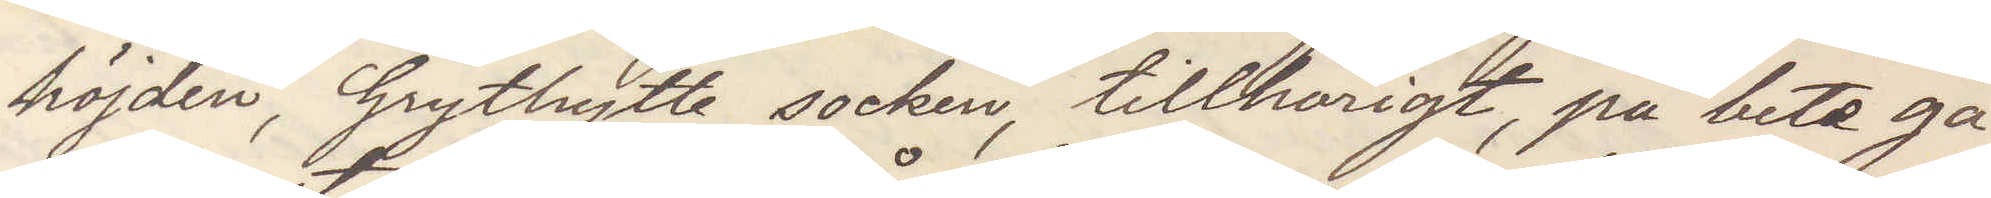höjden Grythytte socken, tillhörigt, på bete gå¬
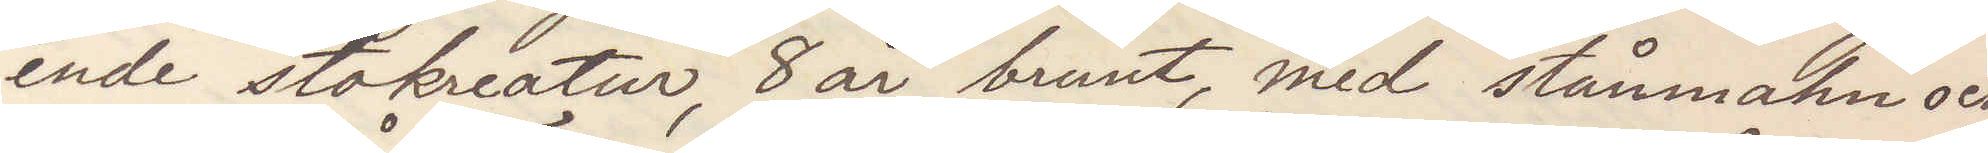ende stokreatur, 8 år, brunt, med stånmahn och
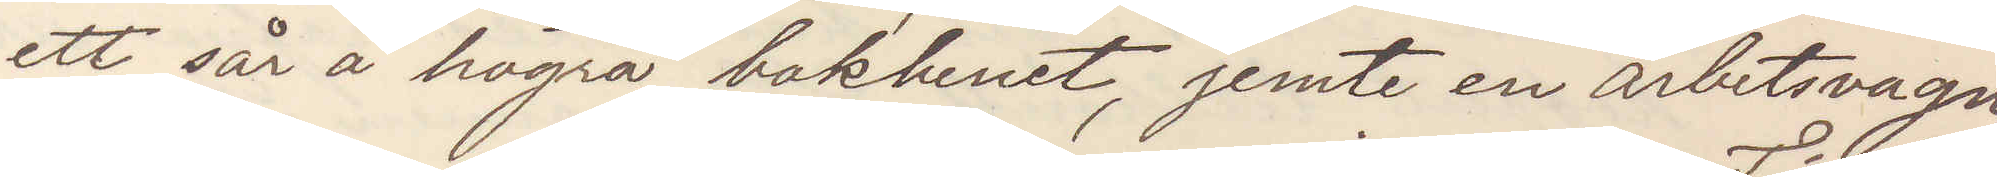ett sår å högra bakbenet, jemte en arbetsvagn
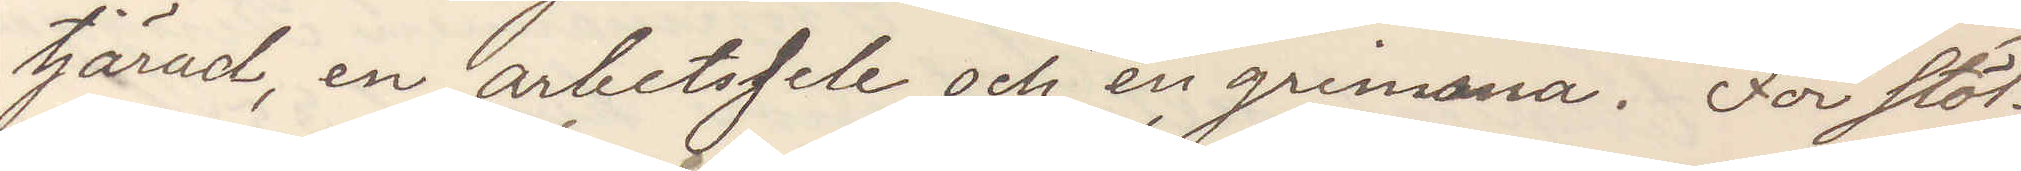tjärad, en arbetssele och en grimma. För stöl¬
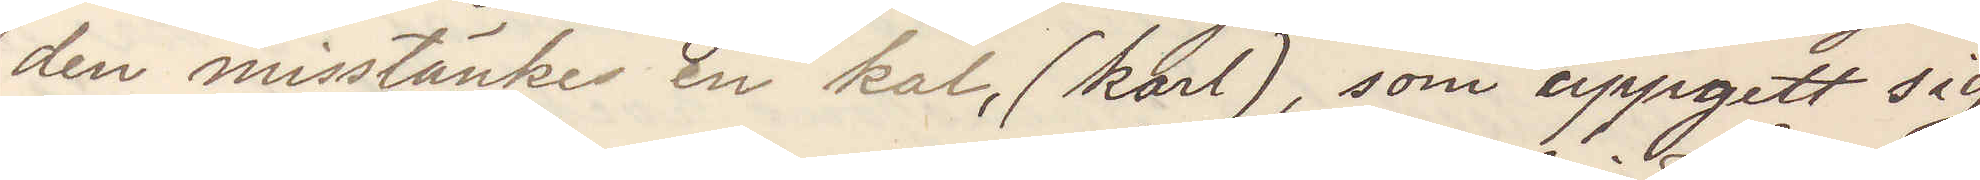den misstänkes en kal, (karl), som uppgett sig
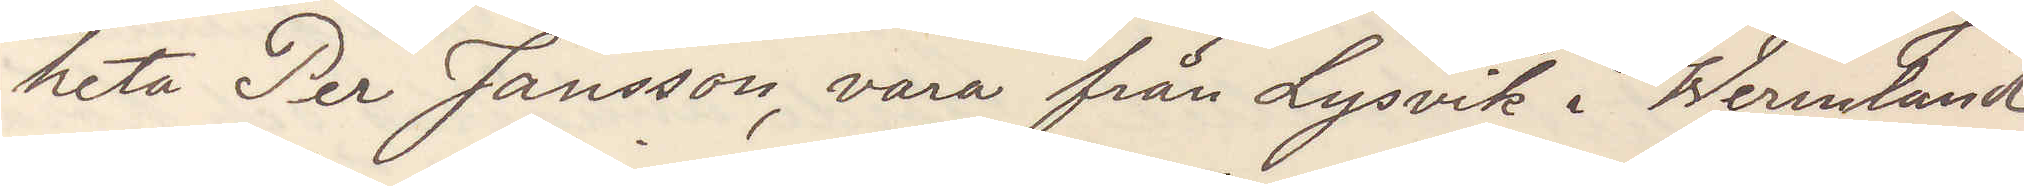heta Per Jansson, vara från Lysvik i Wermland
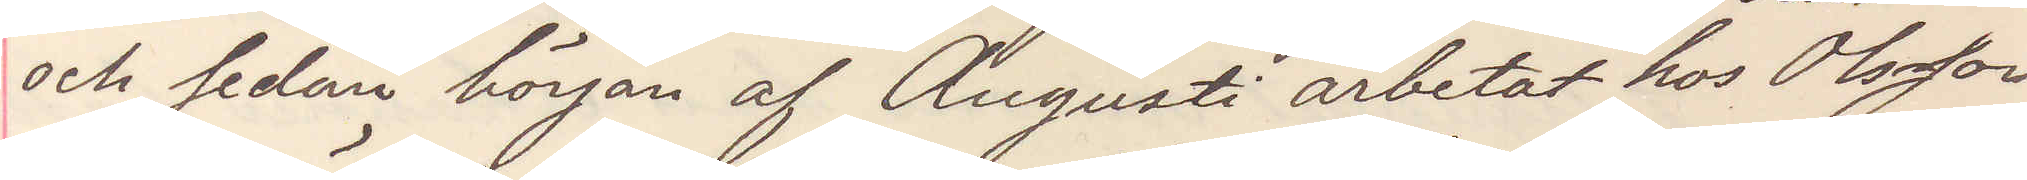och sedan början af Augusti arbetat hos Olsson
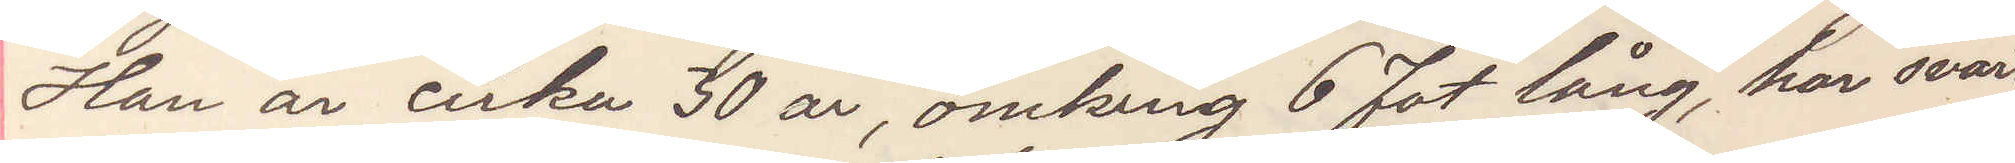Han är cirka 30 år, omkring 6 fot lång har svart
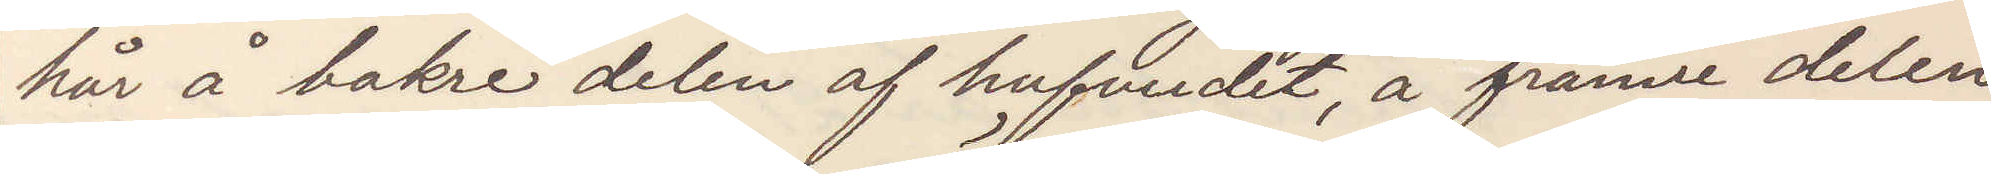hår å bakre delen af hufvudet, å främre delen
